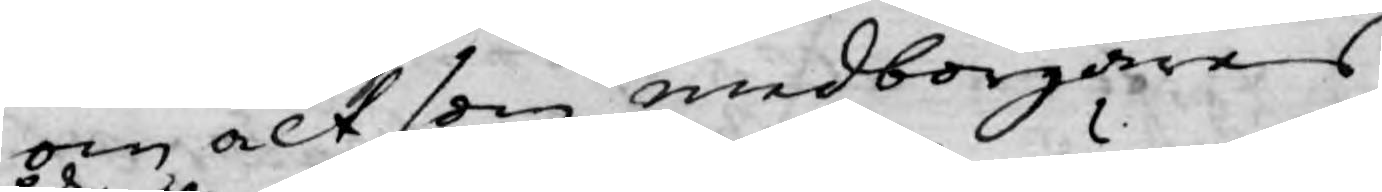om alt som medborgares
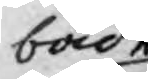både
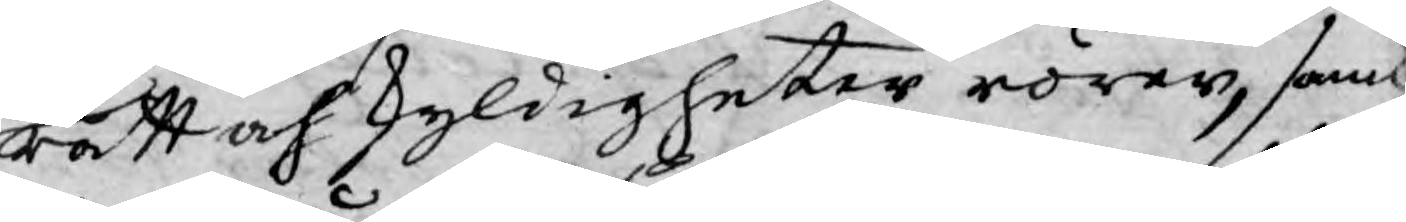rätt och skyldigheter rörer, samt
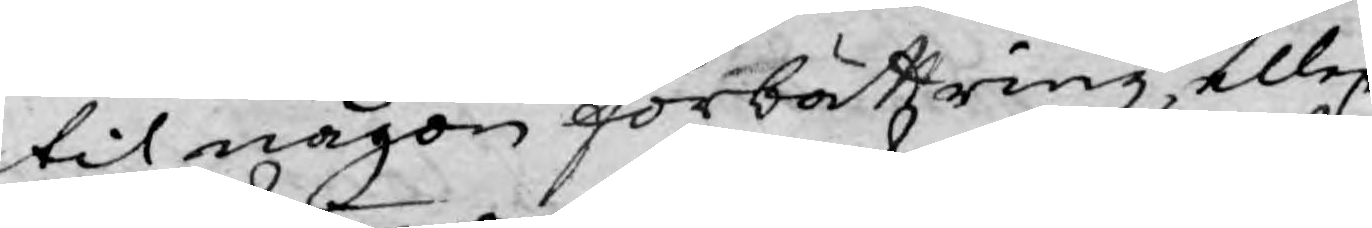til någon förbättring, eller
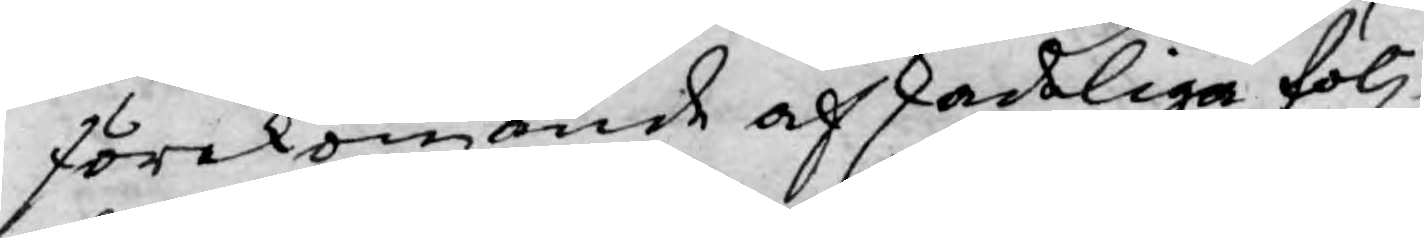förekommande af skadeliga följ¬
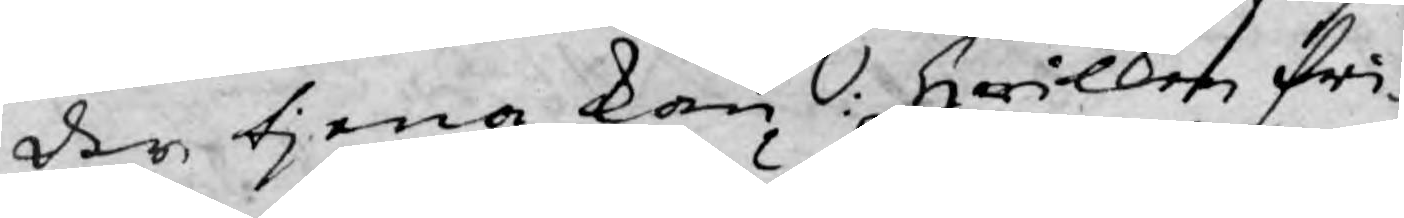der tjena kan: Hwilken fri¬
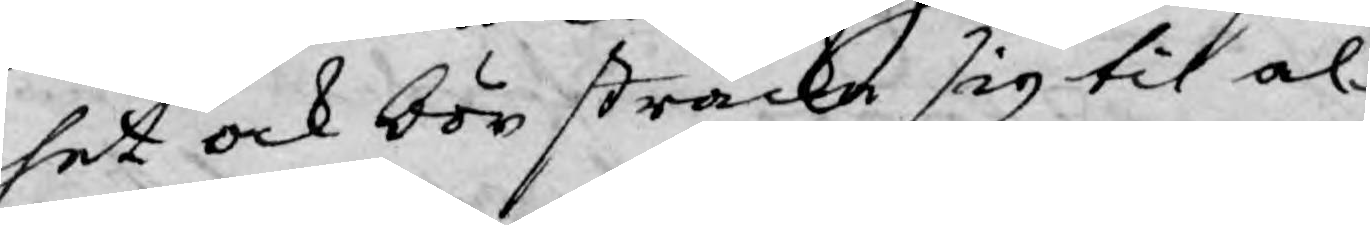het ock bör sträcka sig til al¬
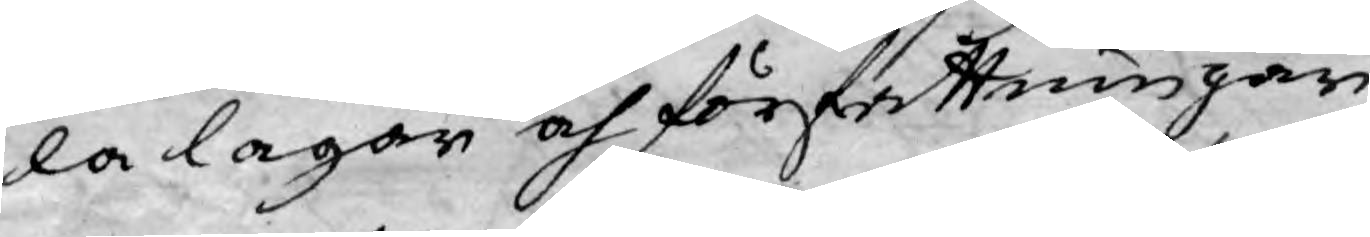la lagar och författningar
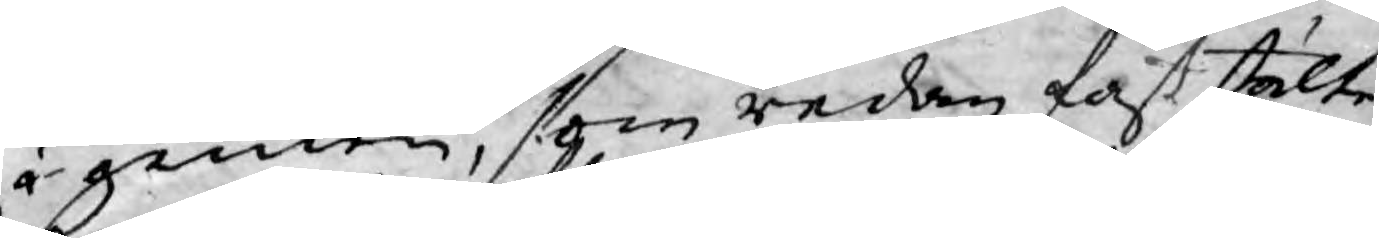i gemen, som redan fast stälte
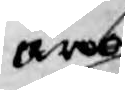äro
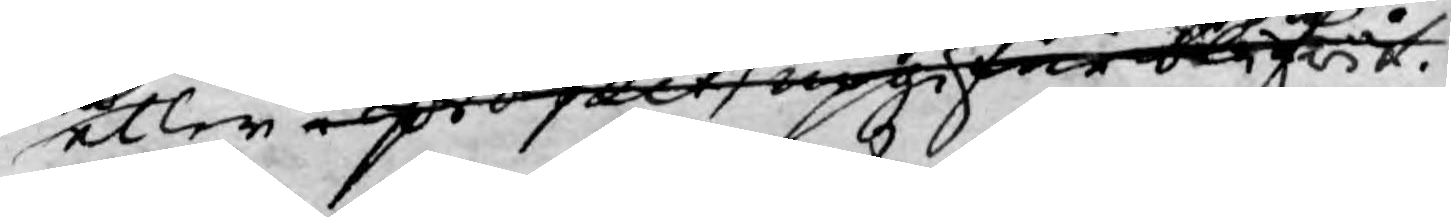eller i project upgifne blifwit.
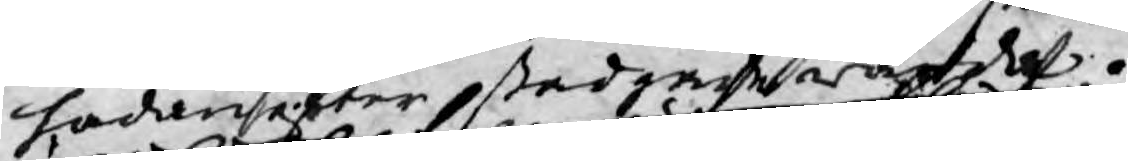hadanefter stadgade warda.
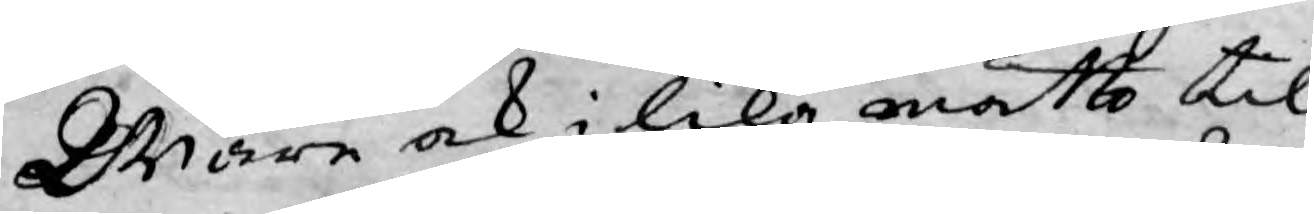Ware ock i lika måtto til¬
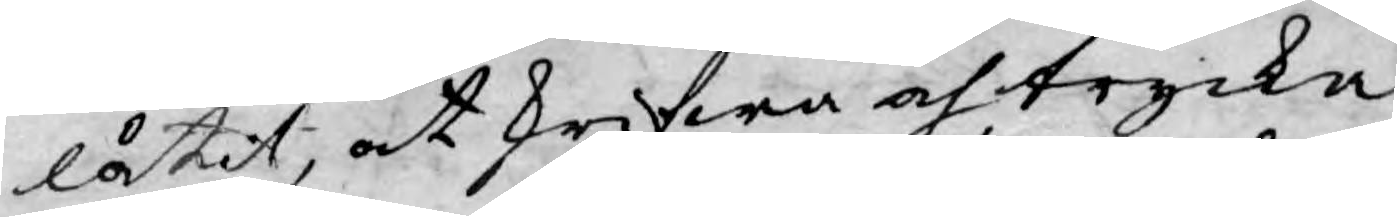låtit, at skrifwa och trycka
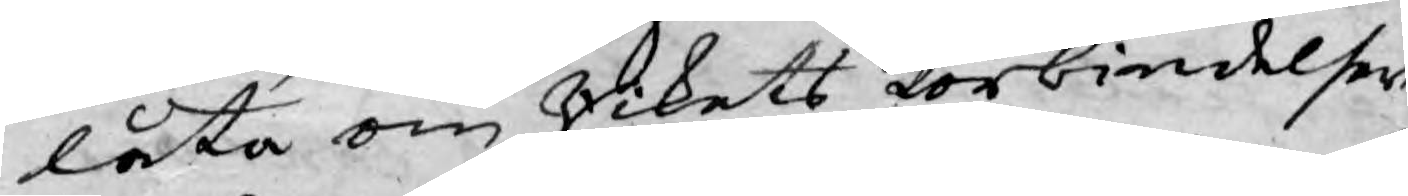låta om Rikets förbindelser
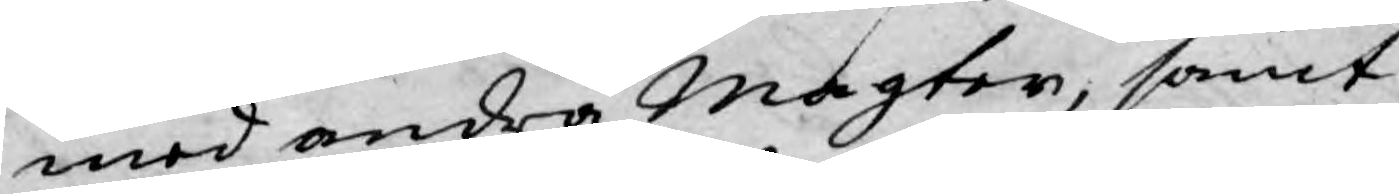med andra Magter, samt
